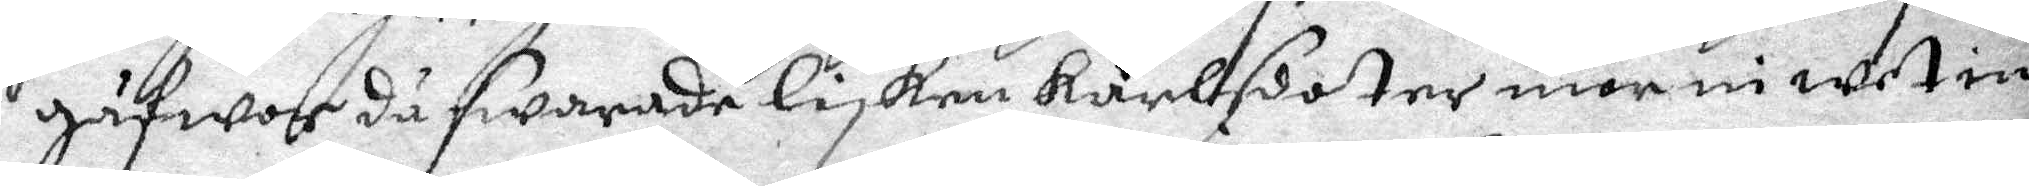gåfwor då swarade lisken karlsdotter mor ni wet in¬
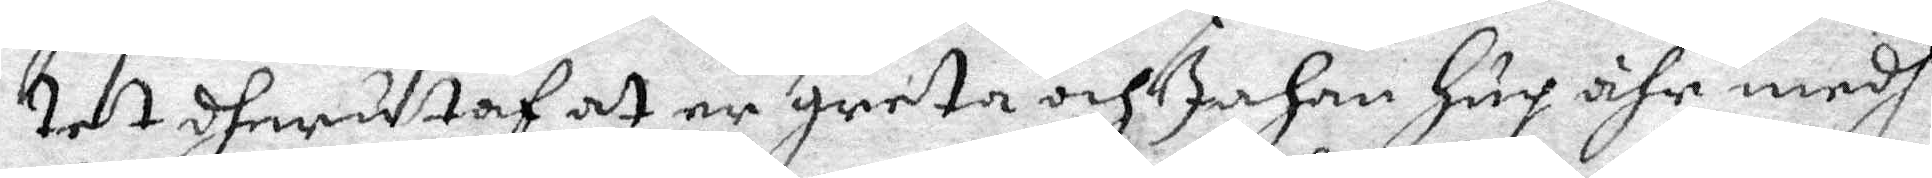tet dherutaf at er greta och Johan hug ähr medh
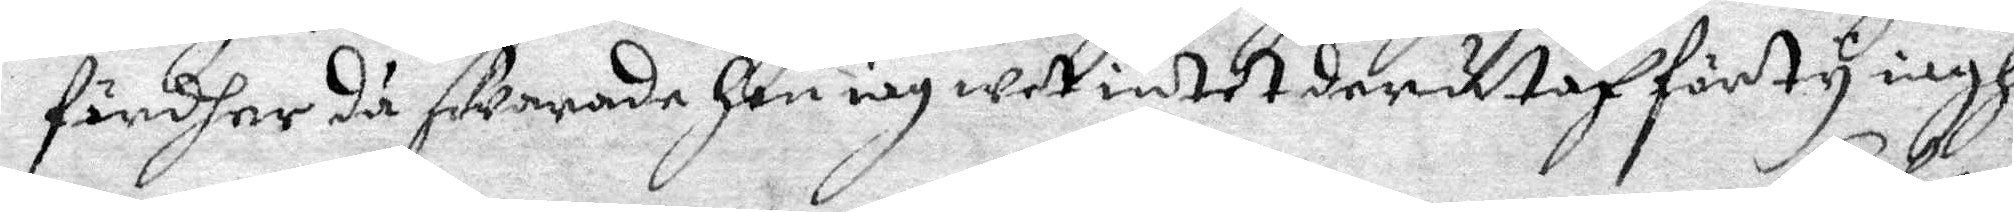fördher då swarade hon iag wet intet derutaf förty iagh
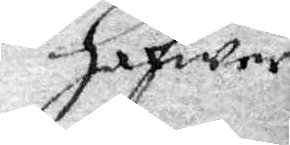hafwer
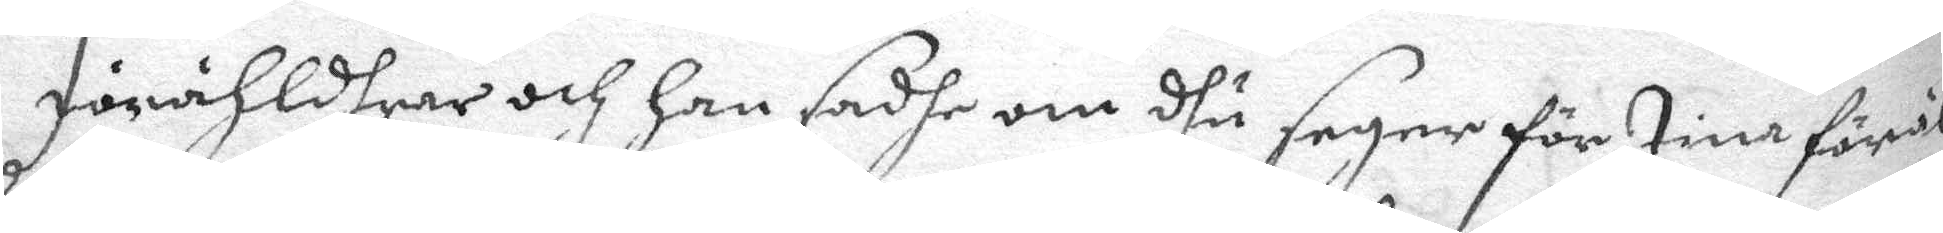Förähldhrar och han sadhe om dhu seger för tine föräl¬ 
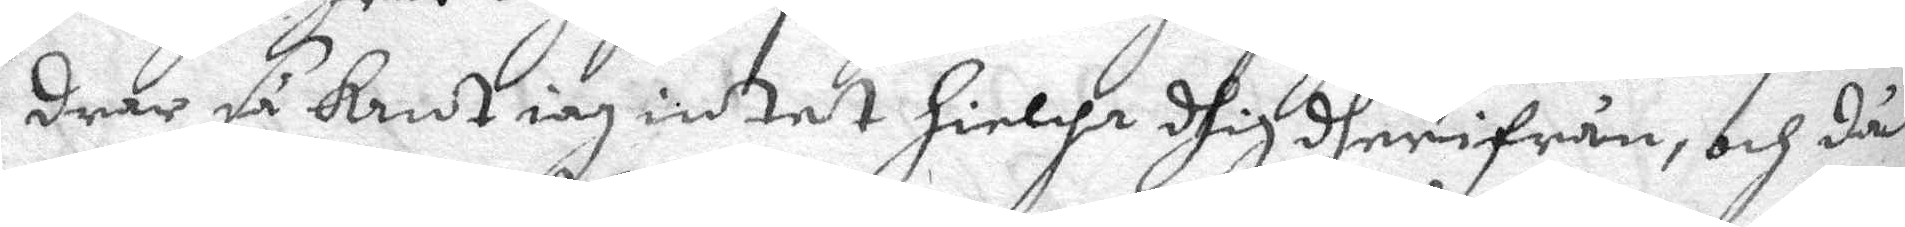drar så kan iag intet hielpa dhig dherifrån, och då
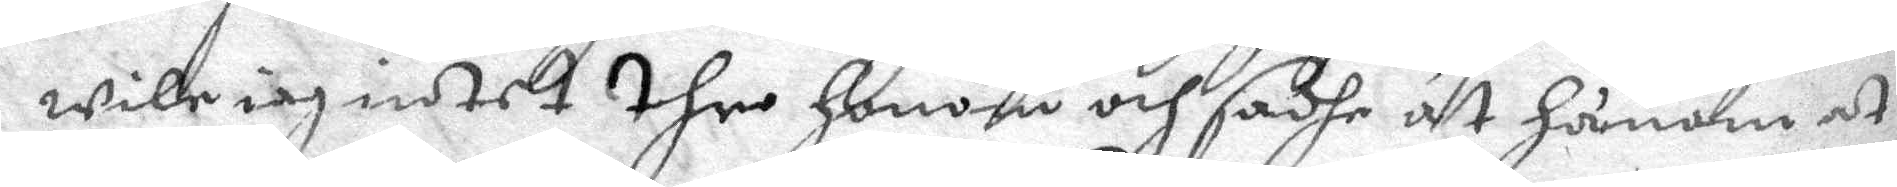wille iag intet ther honom och sadhe åt hånom at
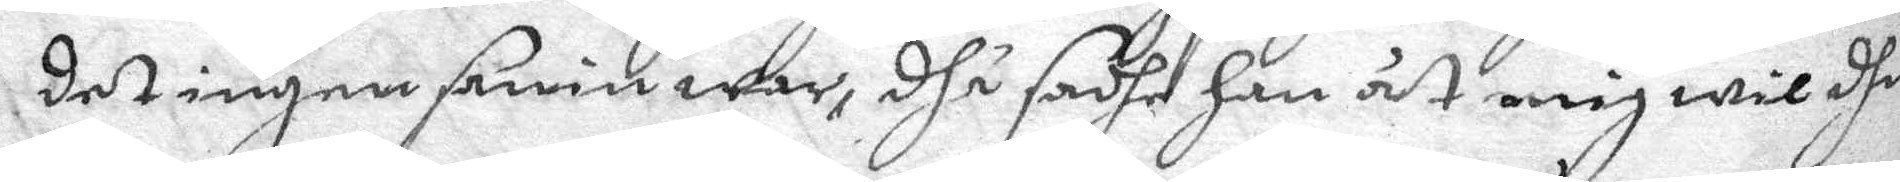det ingen sanin war, dhå sadhe han åt mig wil dhu
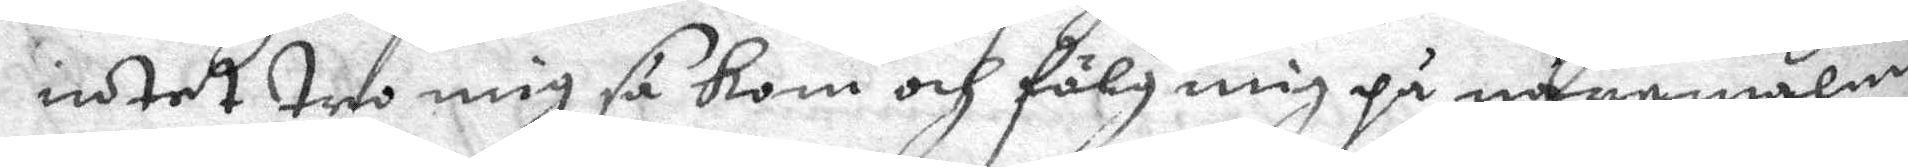intet tro mig så kom och fölg mig på nåremalm
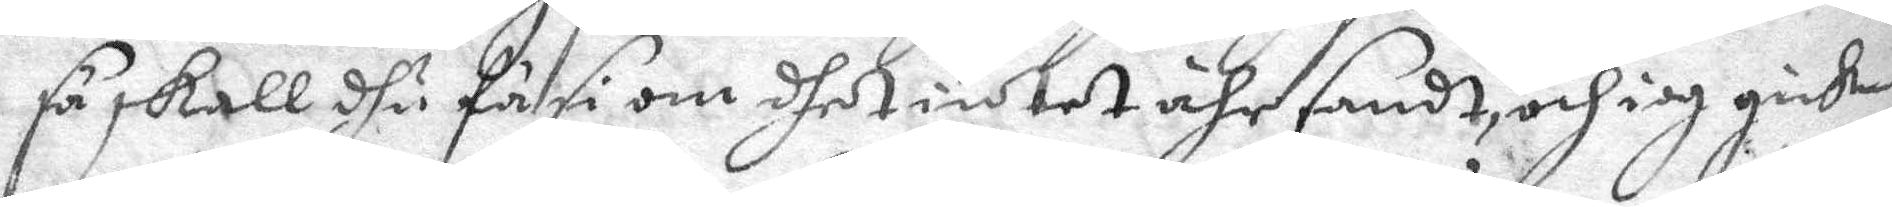så skall dhu få si om dhet intet ähr sandt, och iag gicke
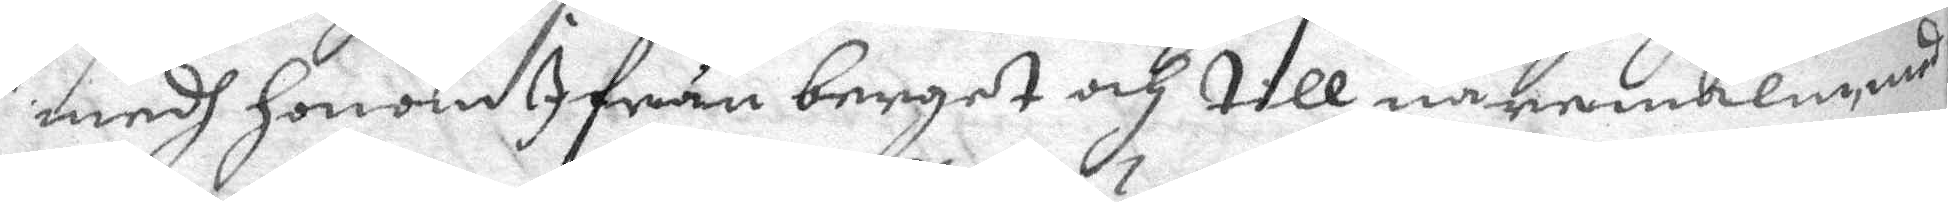medh honom I från berget och till nåremalm, med
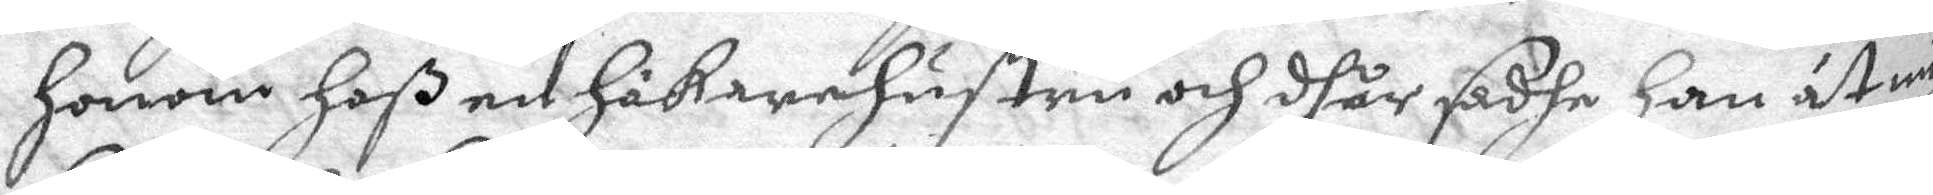honom hoß en Hökarehustru och dhår sadhe han åt mig
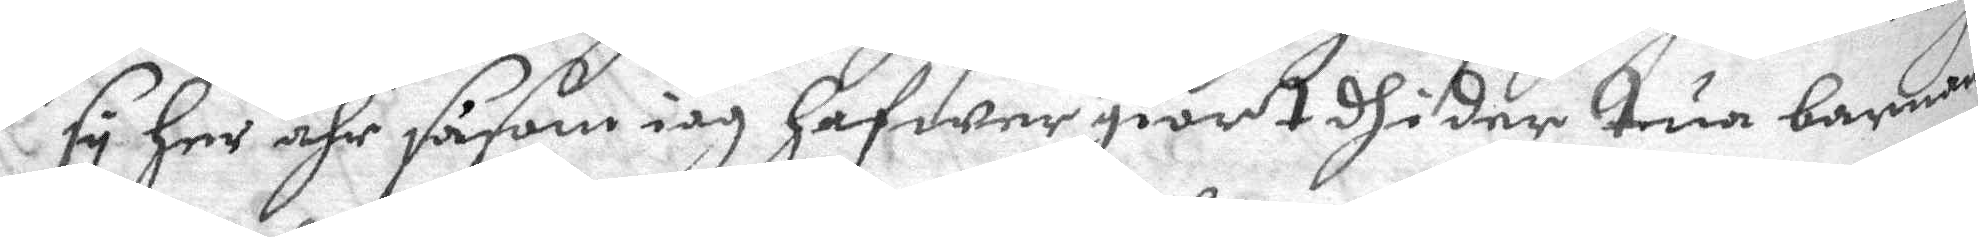sy her ähr såsom iag hafwer giordt dhi der tua barnen
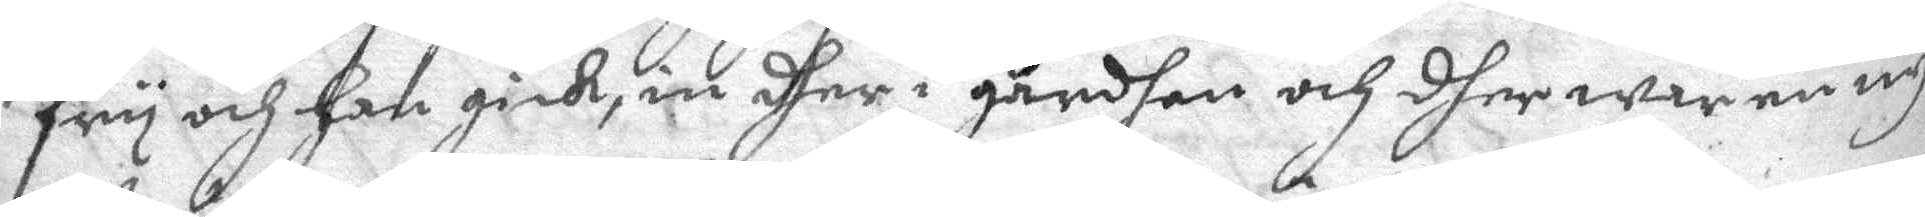fry och han gick, in dher i gårdhen och dher war en ny
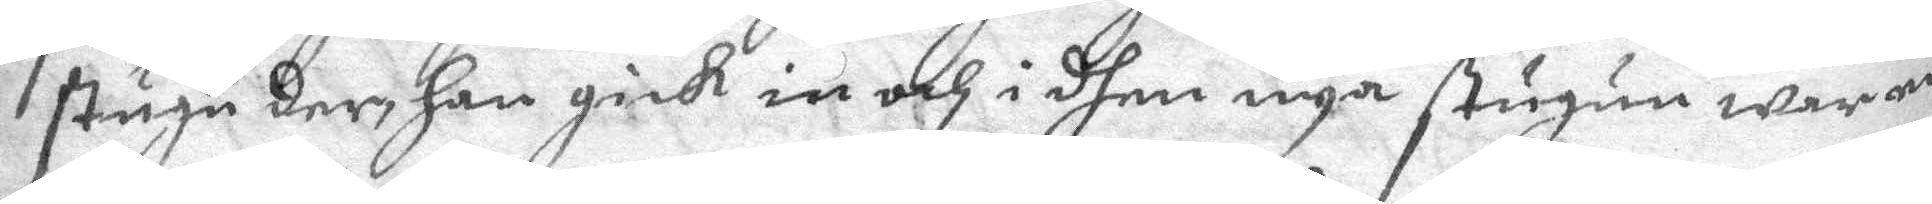stugu der, han gick in och i dhen nya stugun war en
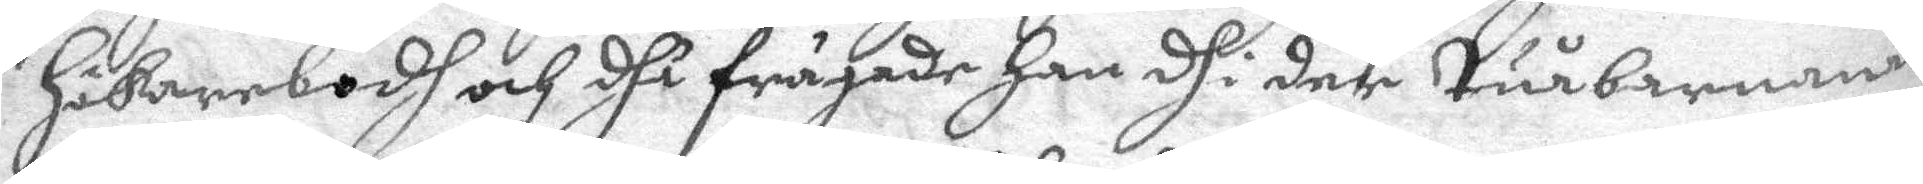hökarebodh och dhå frågade han dhi der tuå barnanan
